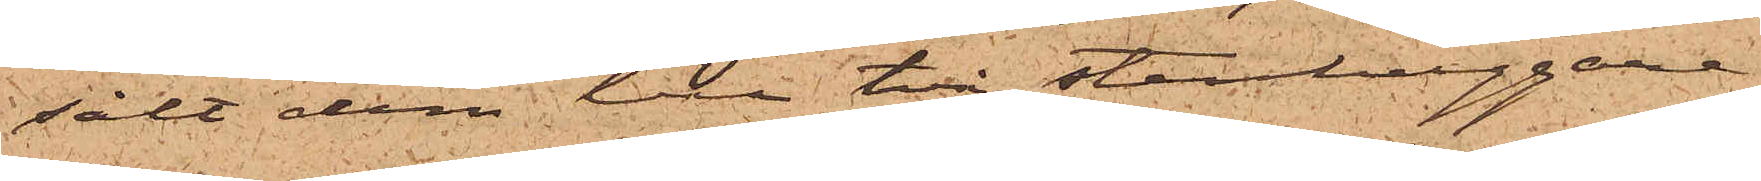sålt dem till två stenhuggare
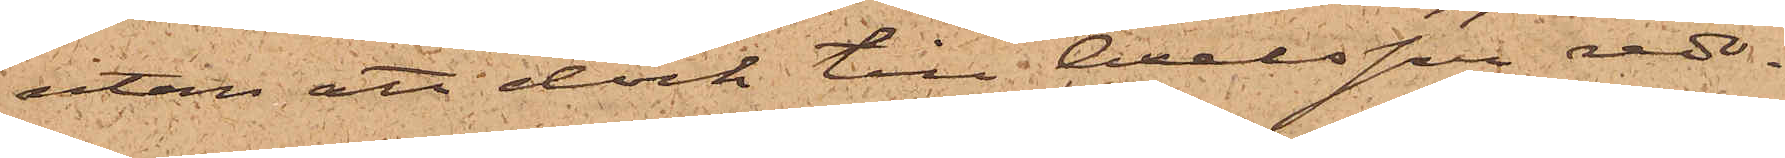utan att dock till Axelsson redo¬
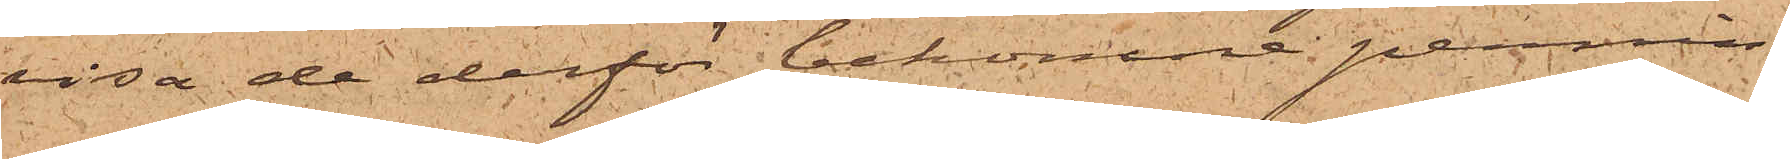visa de derför bekomne pennin¬
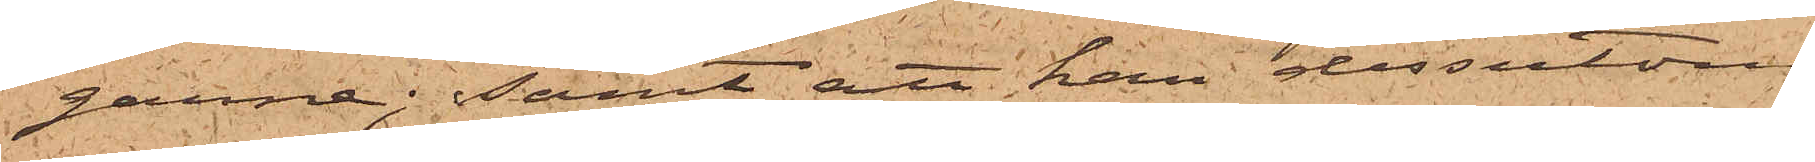garne; samt att han dessutom
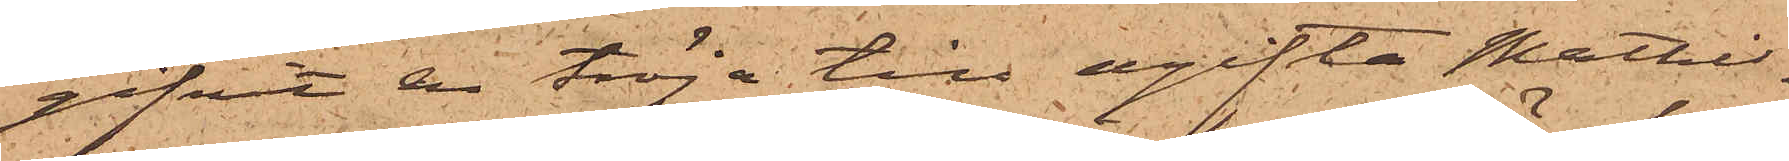gifvit en tröja till ogifta Mathil¬
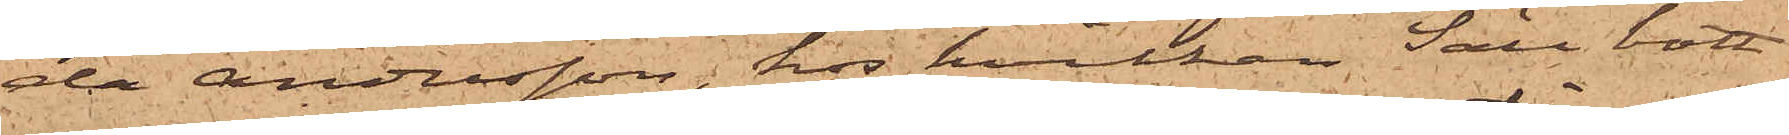da Andersson, hos hvilken Säll bott
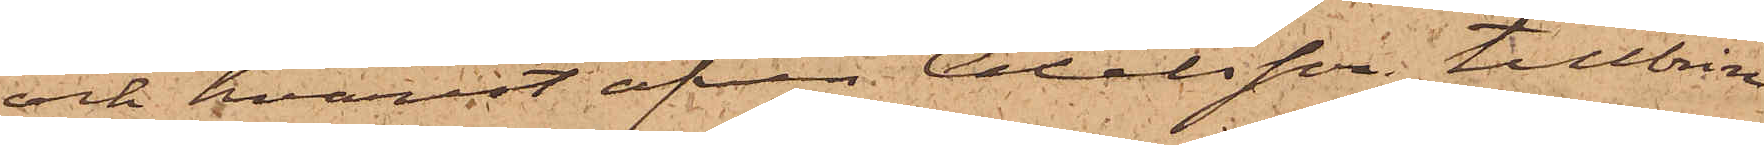och hvarest äfven Axelsson tillbrin¬
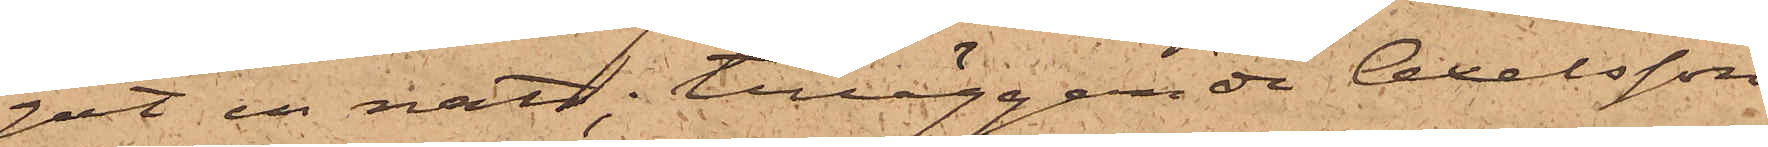gat en natt; tilläggande Axelsson
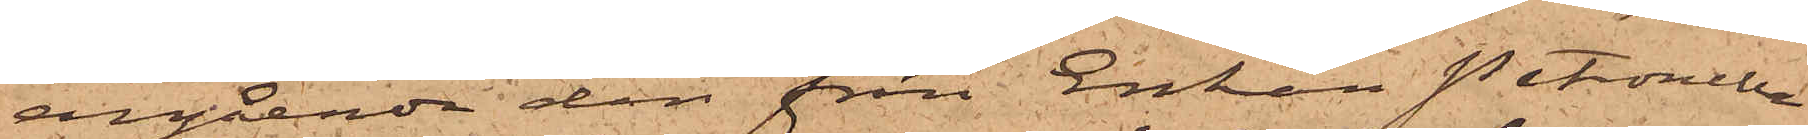angående den från Enkan Petronella
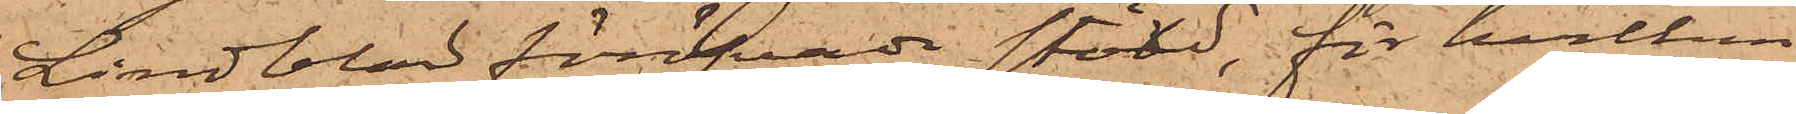Lindblad föröfvade stöld, för hvilken
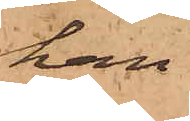han
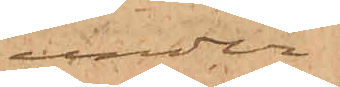under
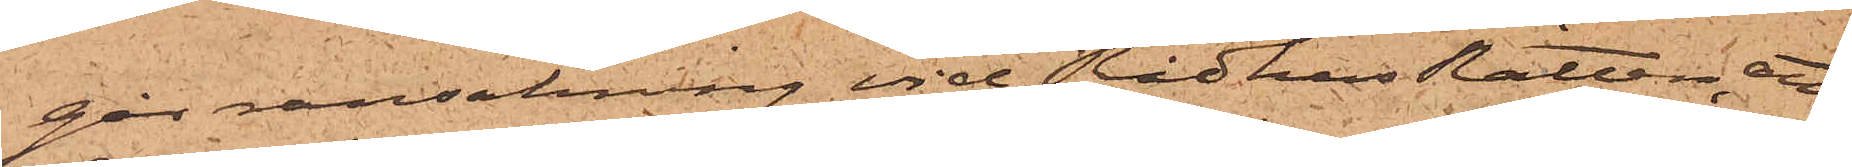går ransakning vid Rådhus Rätten, att
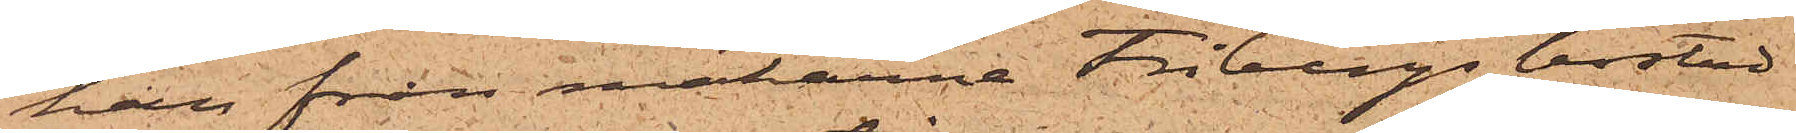han från makarna Fribergs bostad
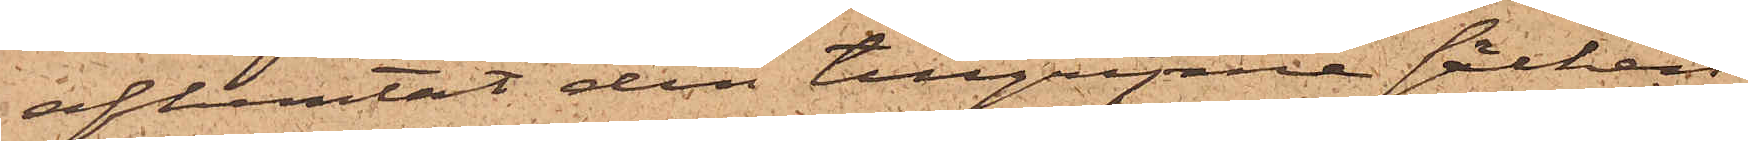afhemtat den tillgripne säcken
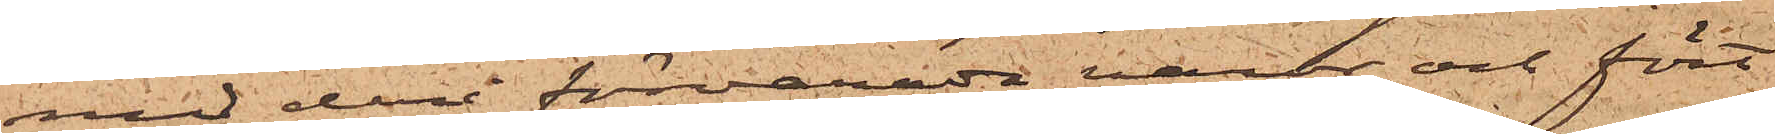med deri förvarade varor och fört
